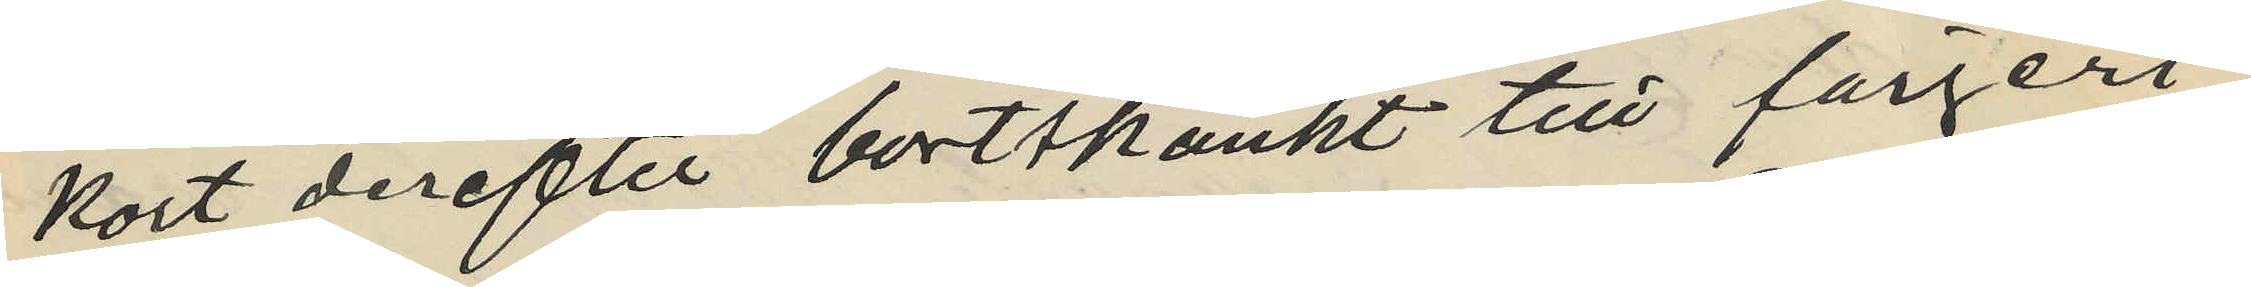kort derefter bortskänkt till färgeri¬
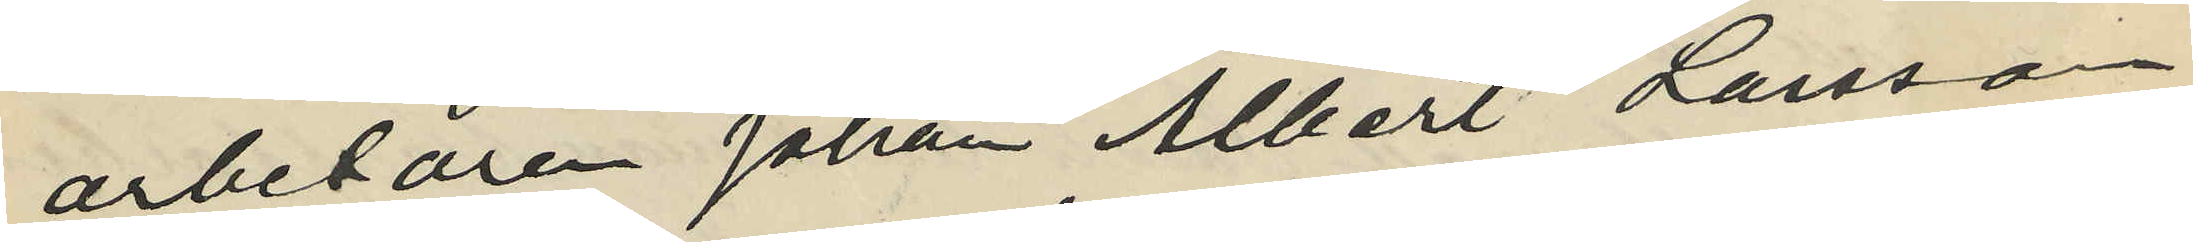arbetaren Johan Albert Larsson
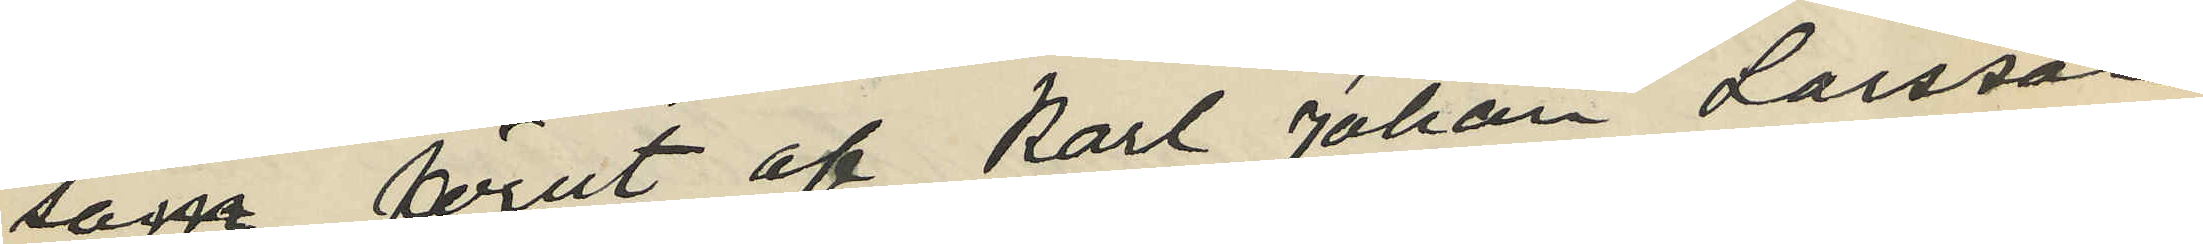soma förut af Karl Johan Larsson
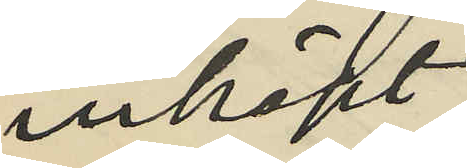inköpt
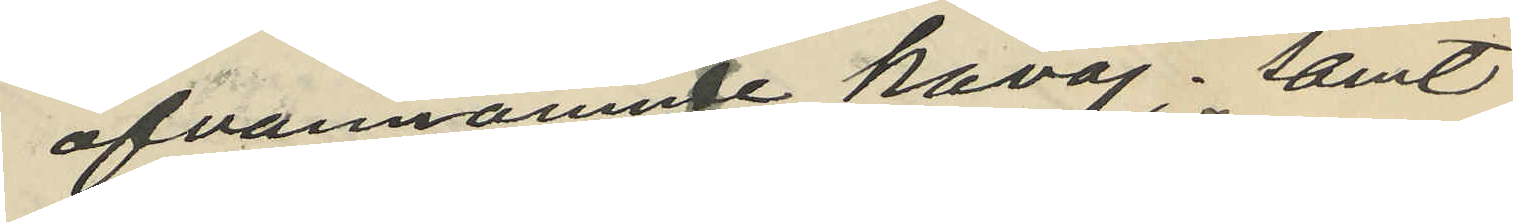ofvannämnde kavaj; samt
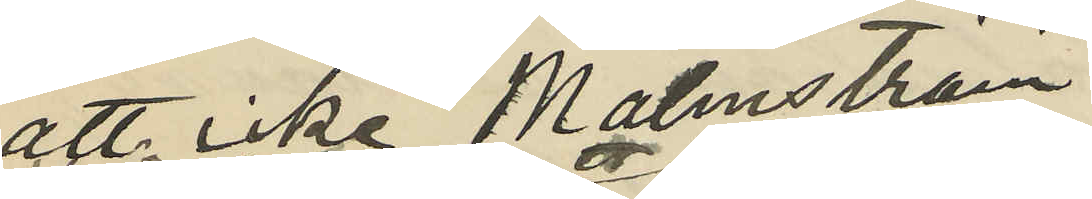att icke Malmström
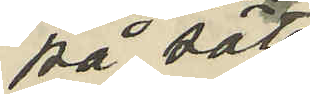på sätt
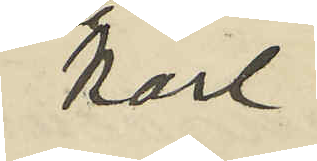Karl
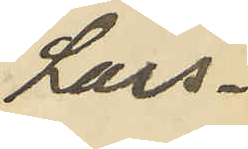Lars¬
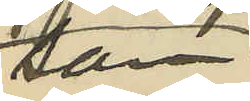son
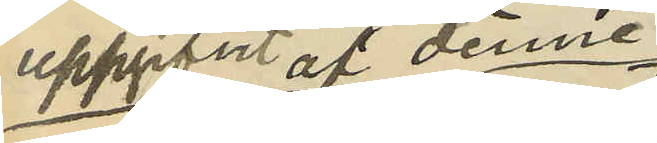uppgifvt af denne
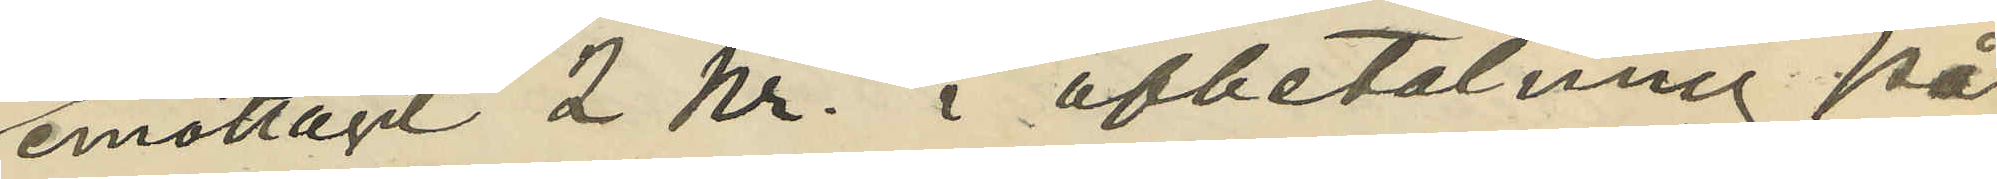emottagit 2 kr. i afbetalning på
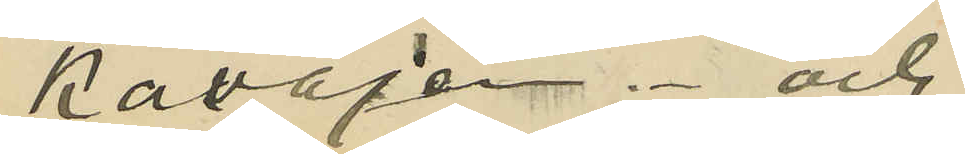kavajen; och
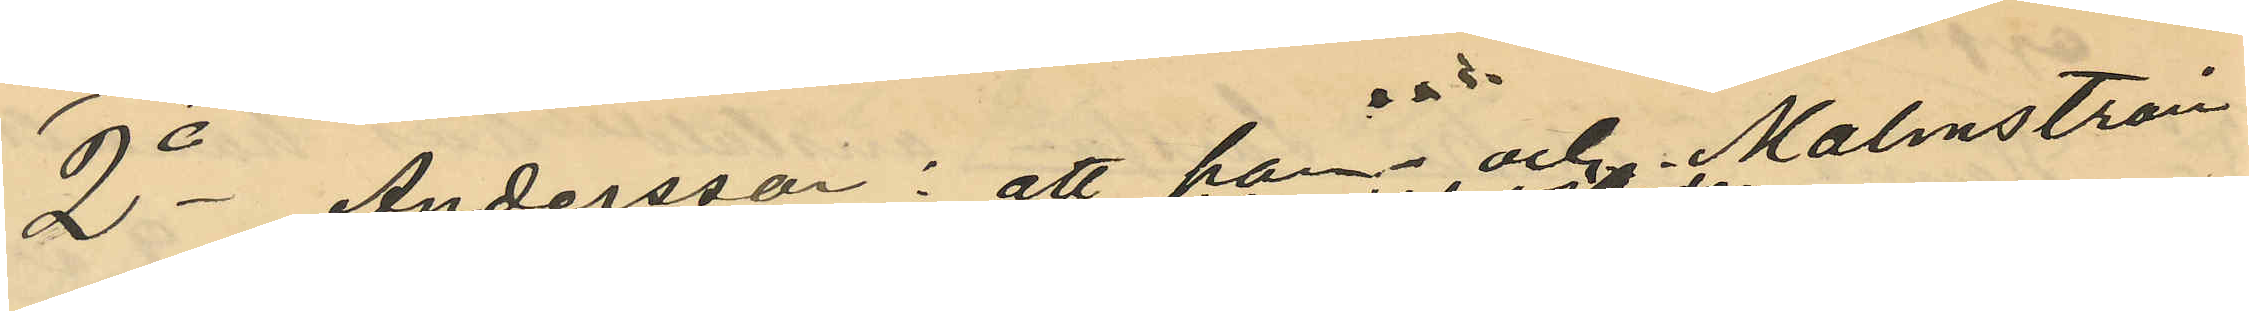2o Andersson: att han och Malmström
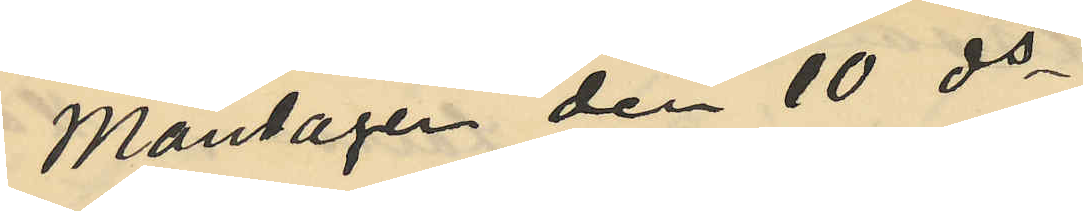Måndagen den 10 ds
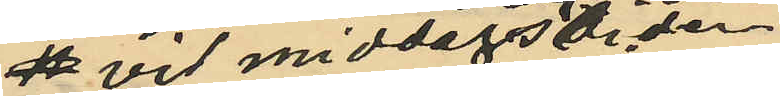 vid middagstiden
